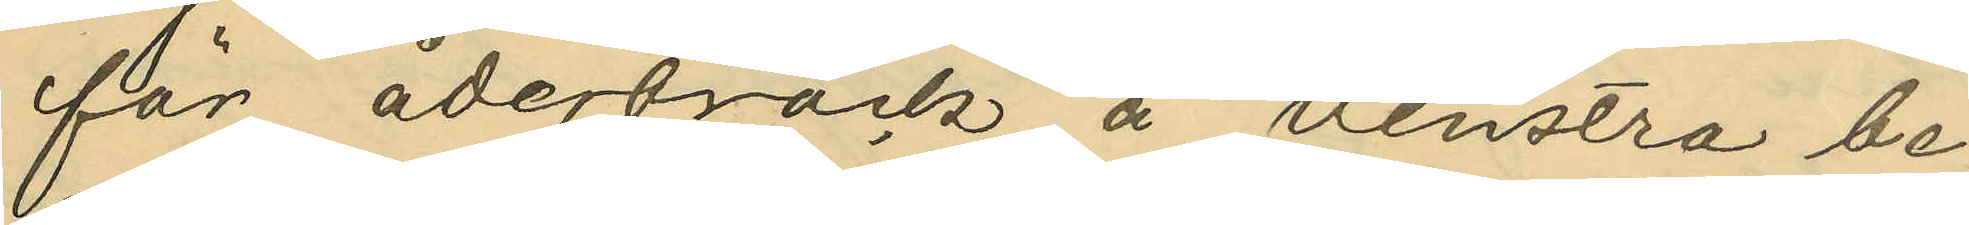för åderbråck å venstra be¬
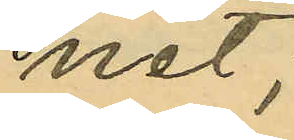net;
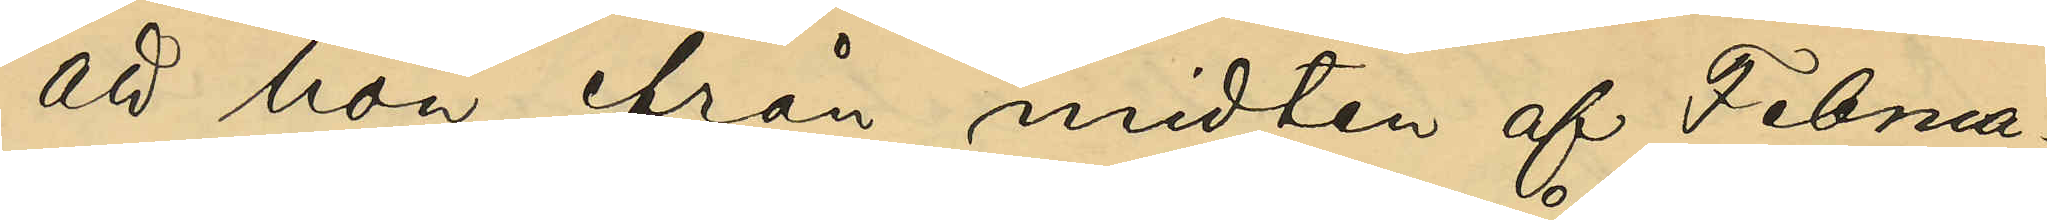att hon från midten af Februa¬
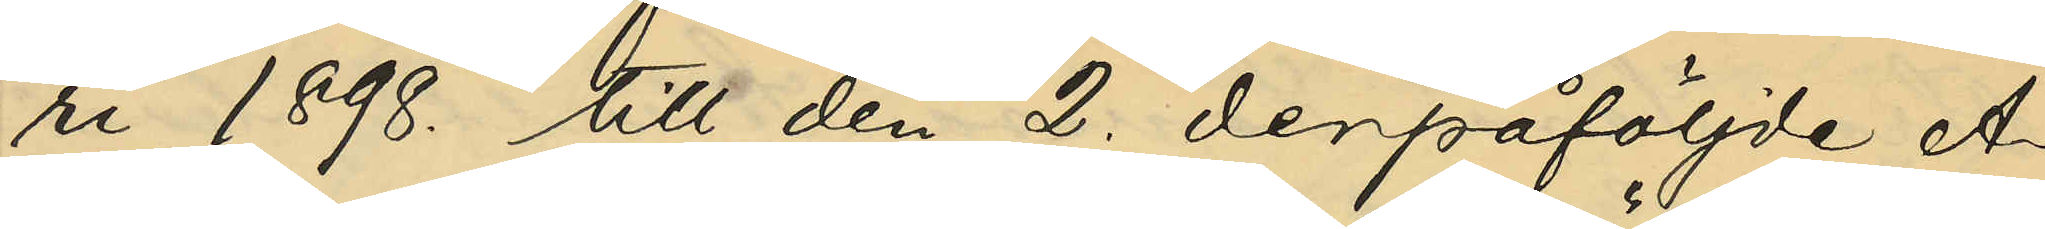ri 1898. till den 2. derpåföljde A¬
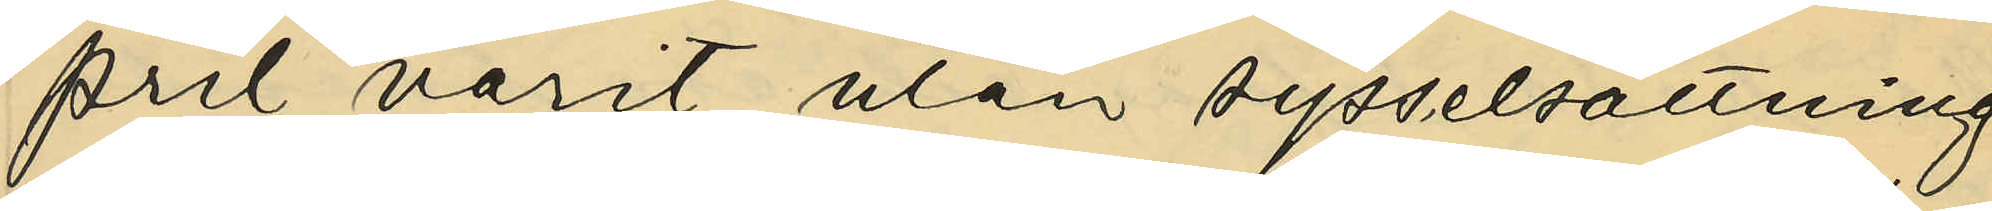pril varit utan sysselsättning
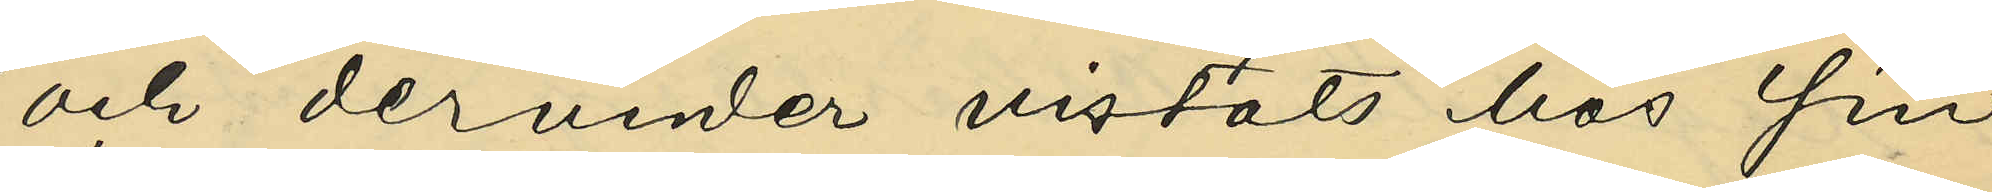och derunder vistats hos sin
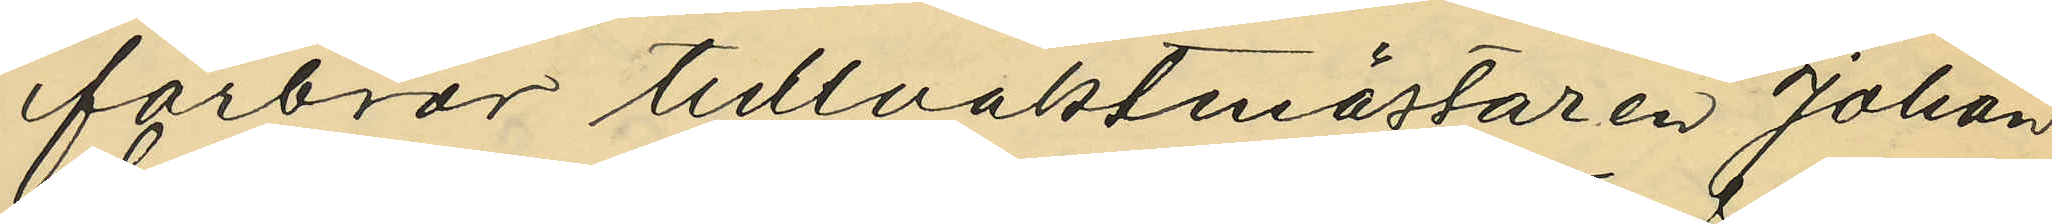farbror tullvaktmästaren Johan
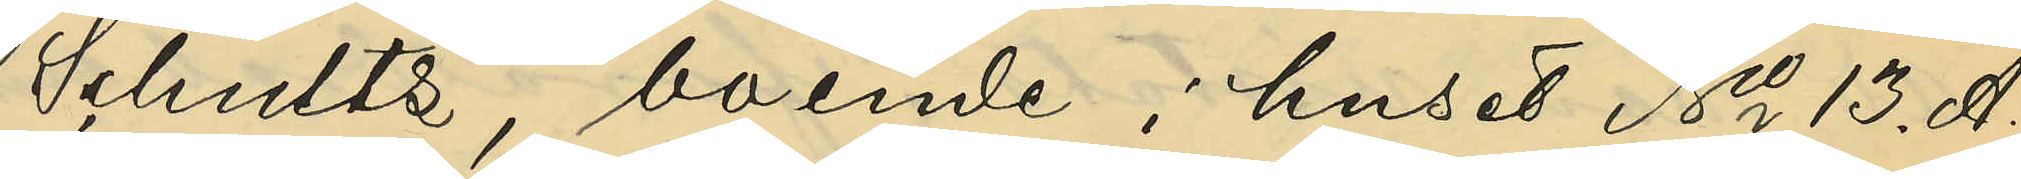Schultz, boende i huset No 13. A.
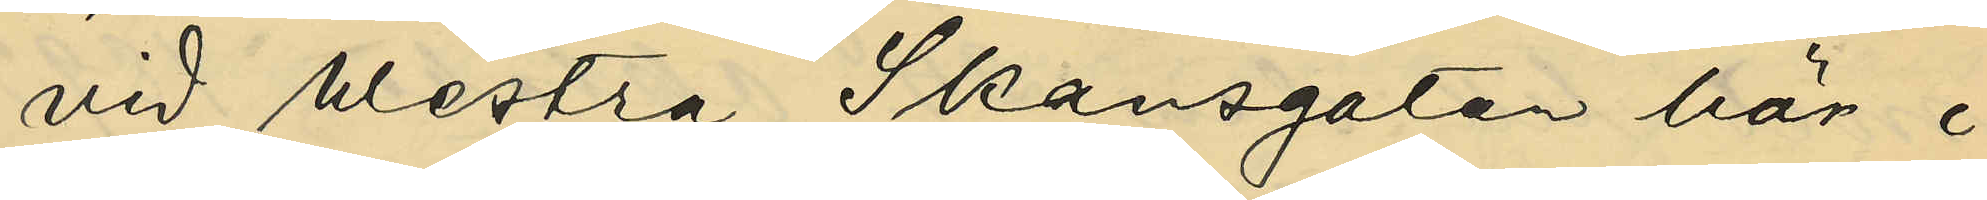vid Westra Skansgatan här i
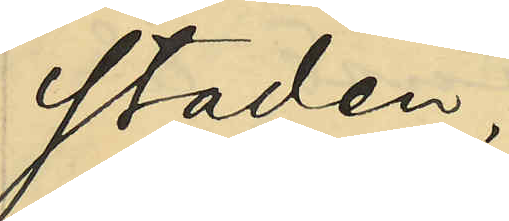staden;
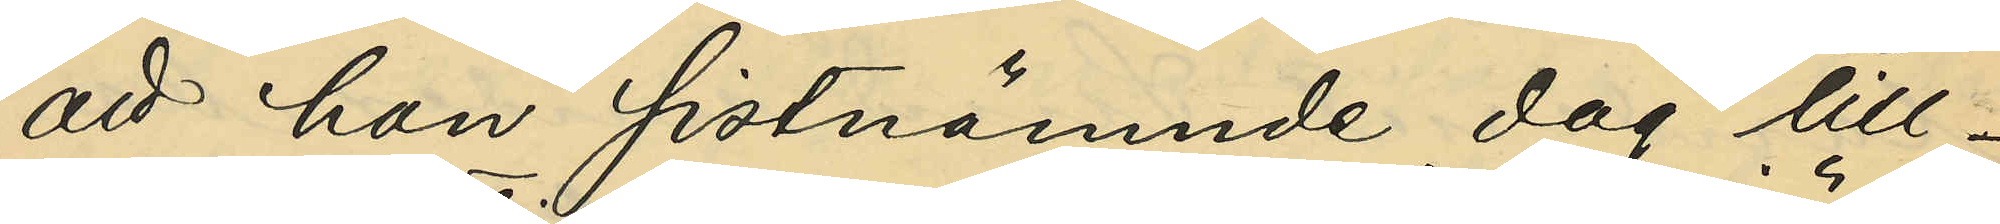att hon sistnämnde dag till¬
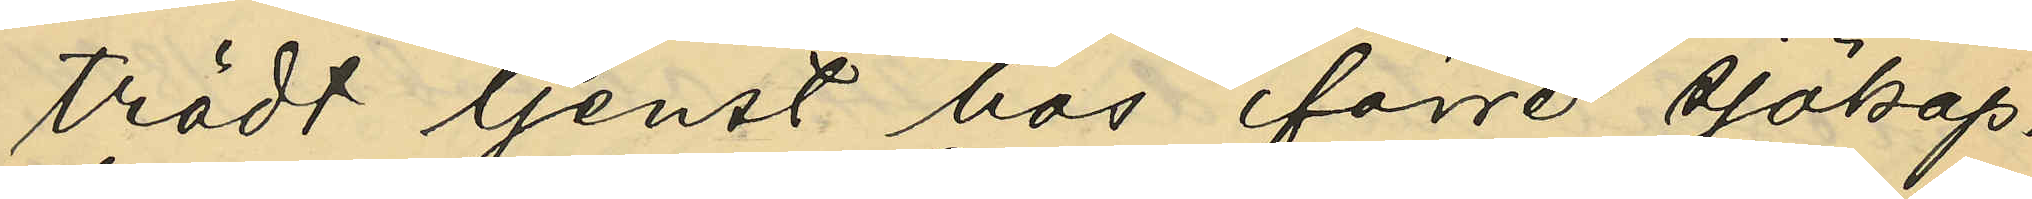trädt tjenst hos förre sjökap¬
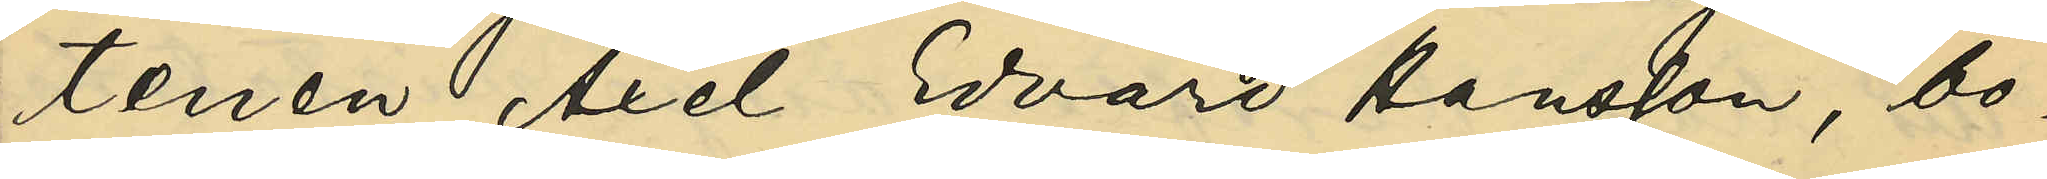tenen Axel Edvard Hansson, bo¬
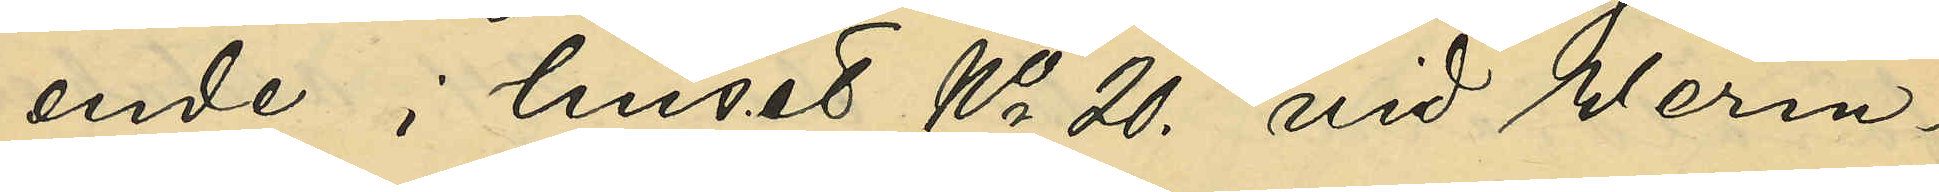ende i huset No 20. vid Werm¬
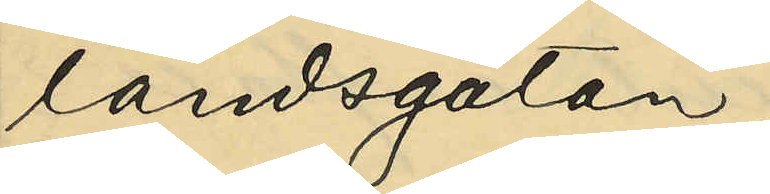landsgatan;
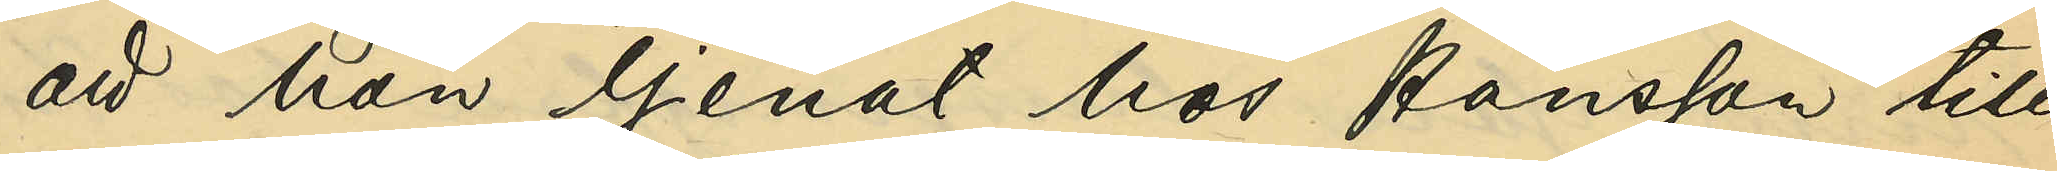att hon tjenat hos Hansson till
